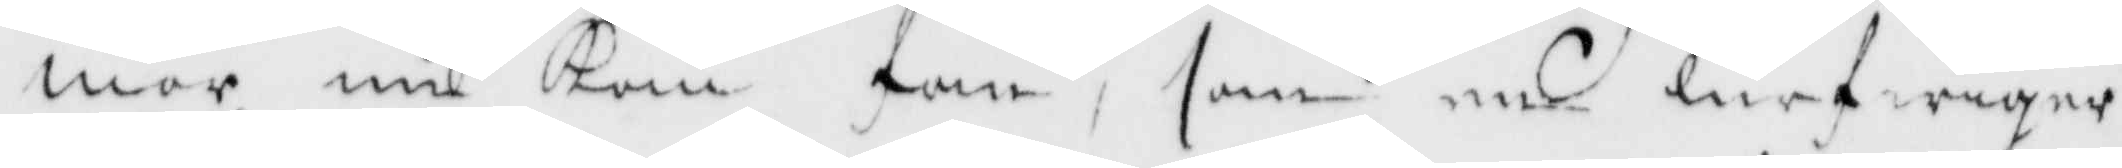mor nu Kom fan, som en lurfwiger
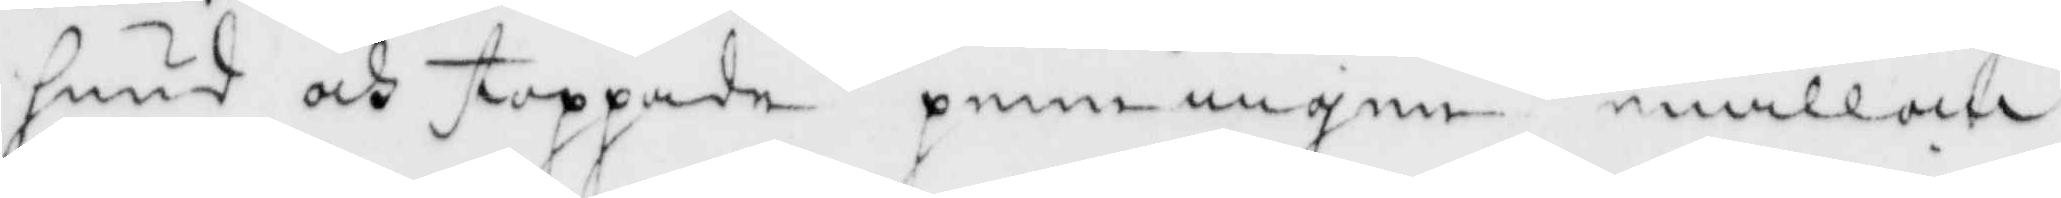hund och stoppade penningen emillan
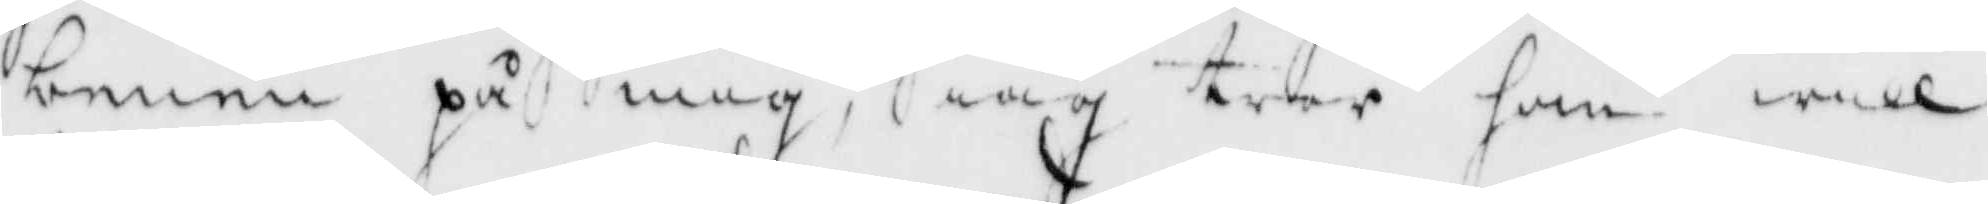benen på mig, iag tror fan will
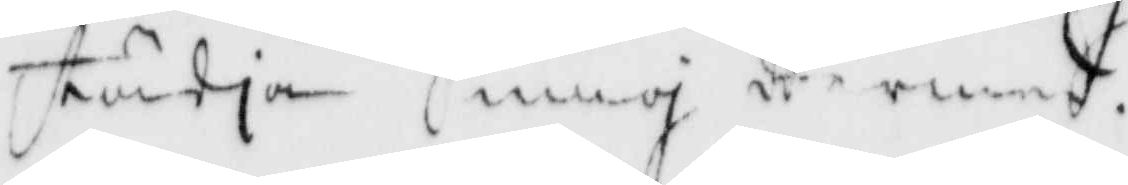städja mig dermed.
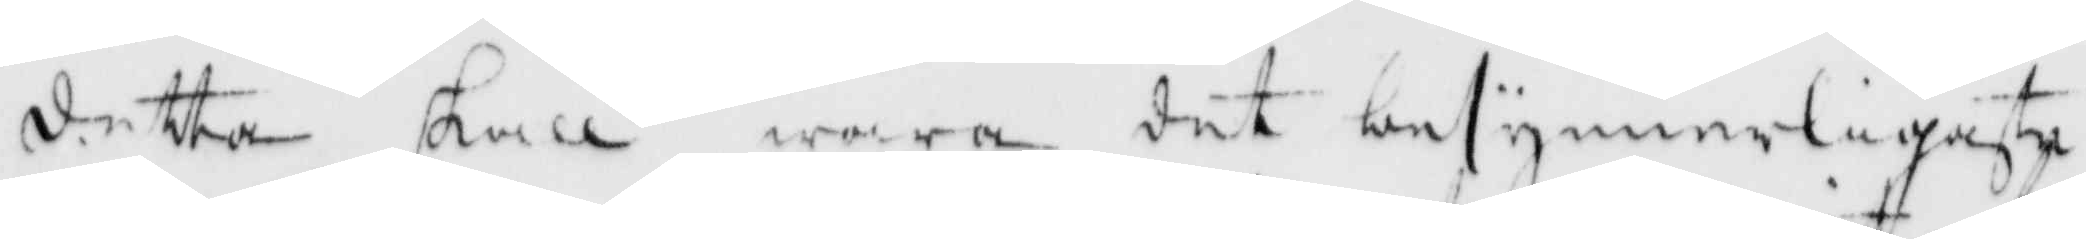detta skall wara det besynnerligaste
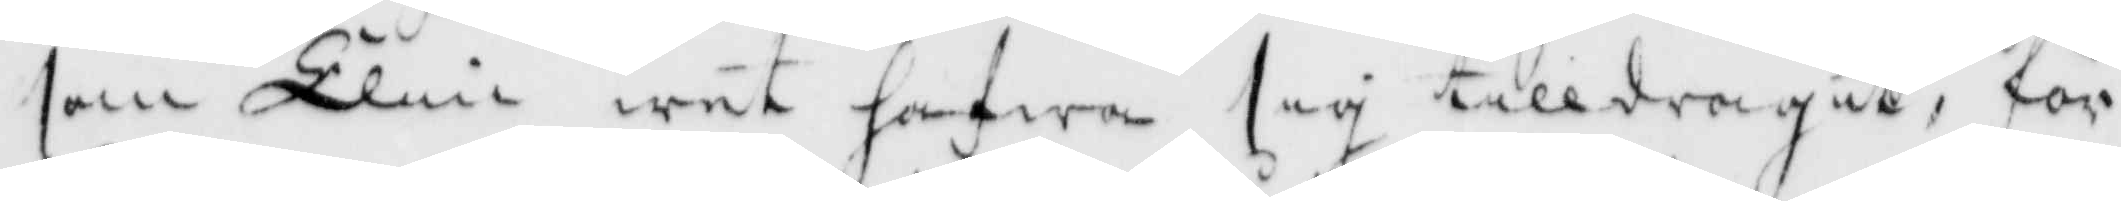som Elin wet hafwa sig tilldragit, för
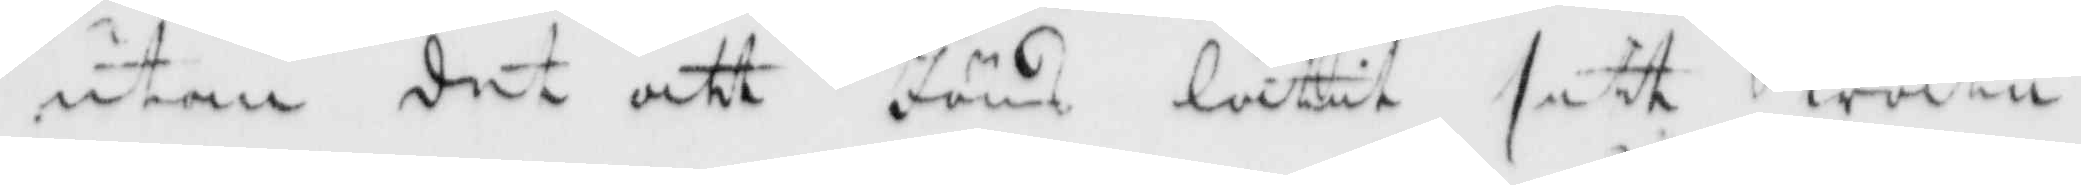utan det att Jöns låtit sitt watu
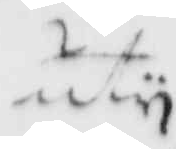uty
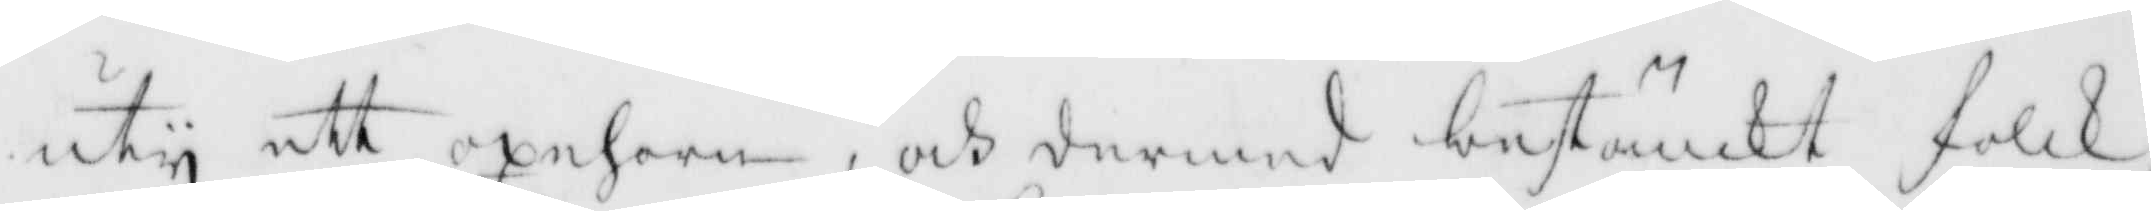uty ett oxehorn, och dermed bestänkt folk
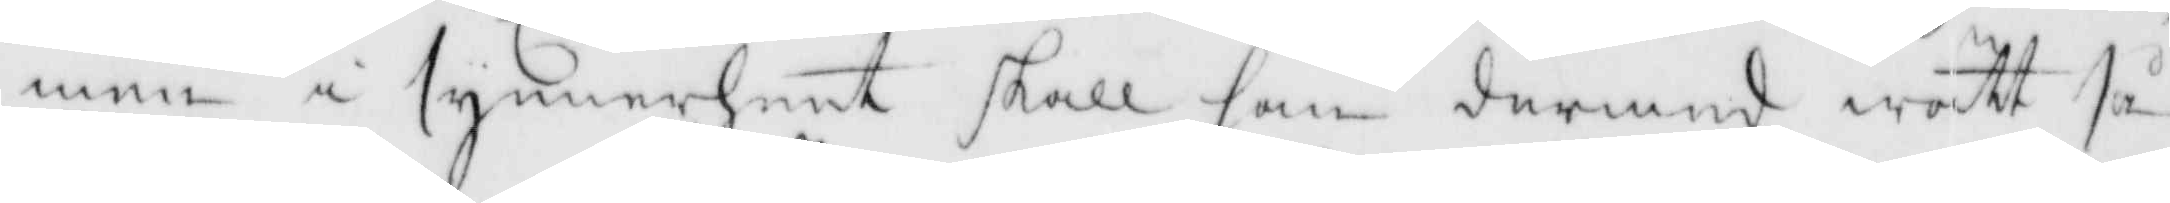men i synnerhet skall han dermed wätt så
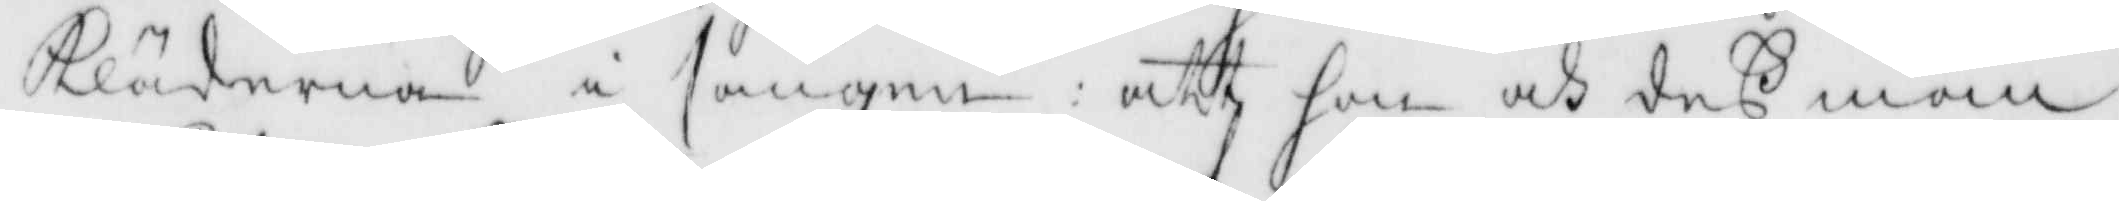Kläderna i sängen: att hon och dess man
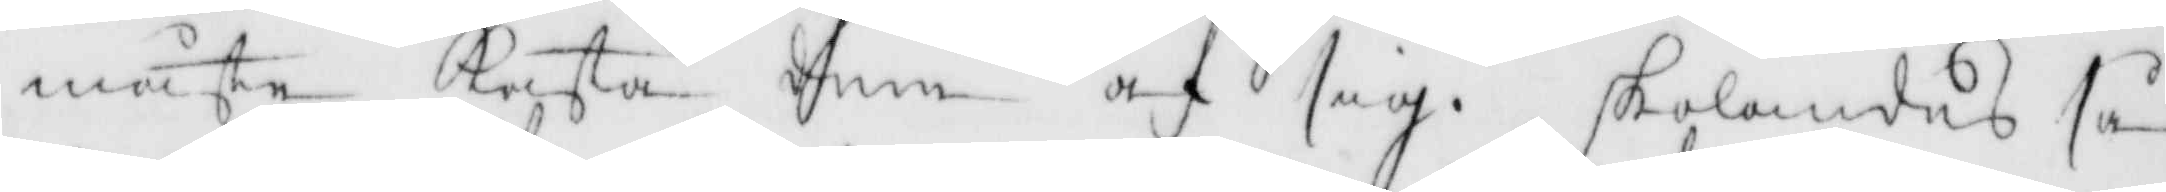måste kasta dem af sig. skolandes så¬
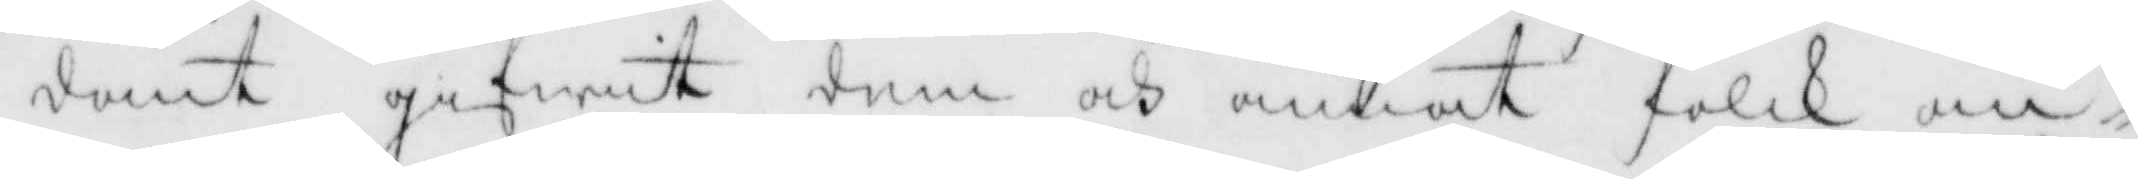dant gifwit dem och annat folk an¬
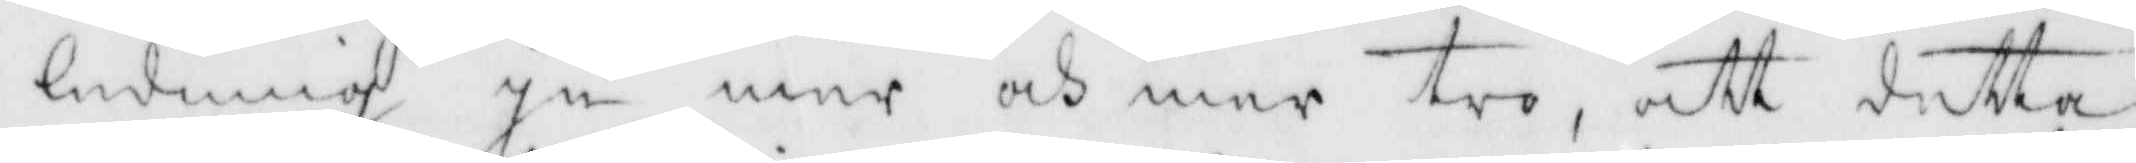ledning ju mer och mer tro, att detta
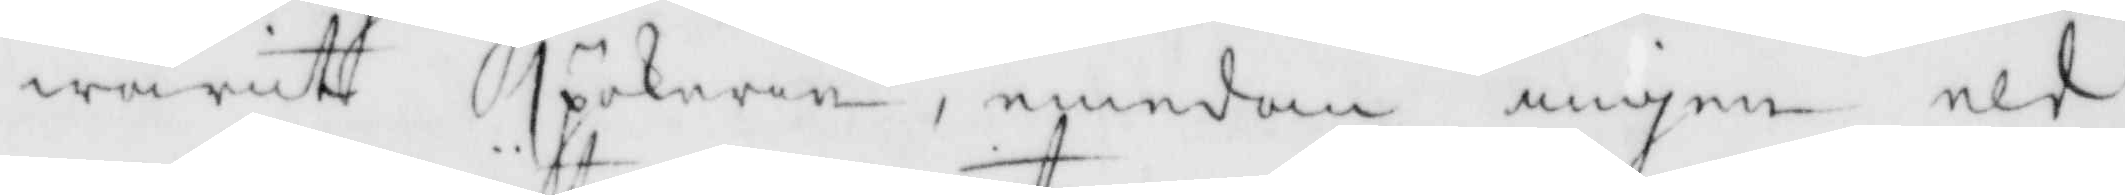warit spökeri, emedan ingen eld 
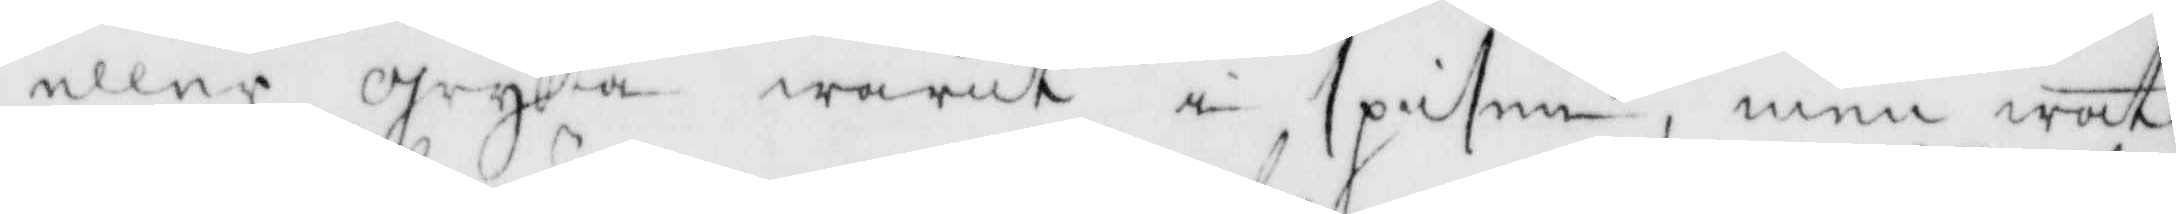eller gryta warit i spisen, men wat¬
